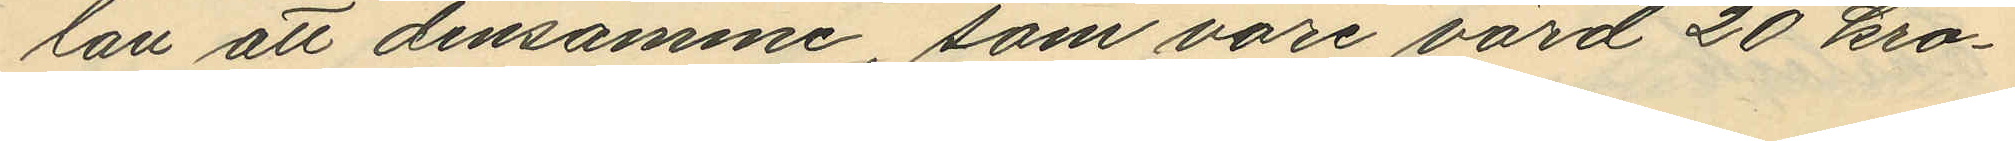lan att densamme, som vore värd 20 kro¬
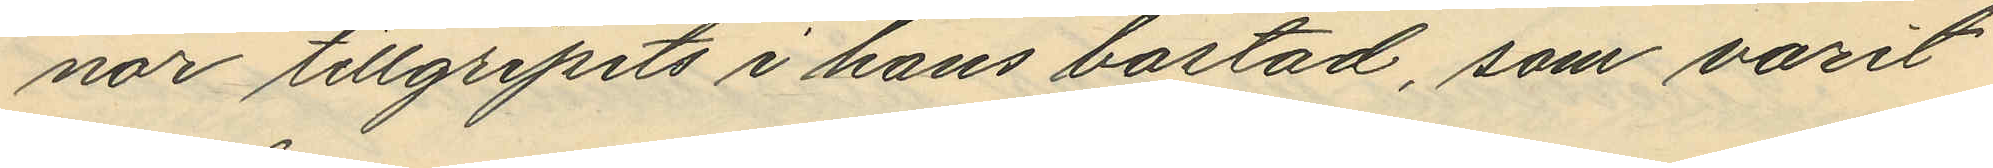nor tillgripits i hans bostad, som varit
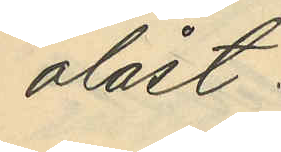olåst.
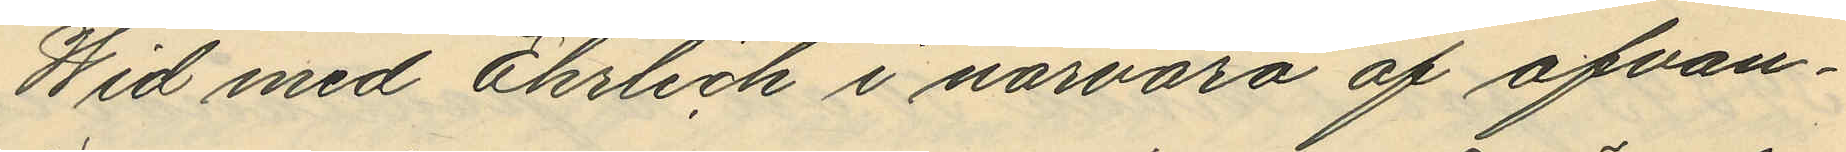Wid med Ehrlich i närvaro af ofvan¬
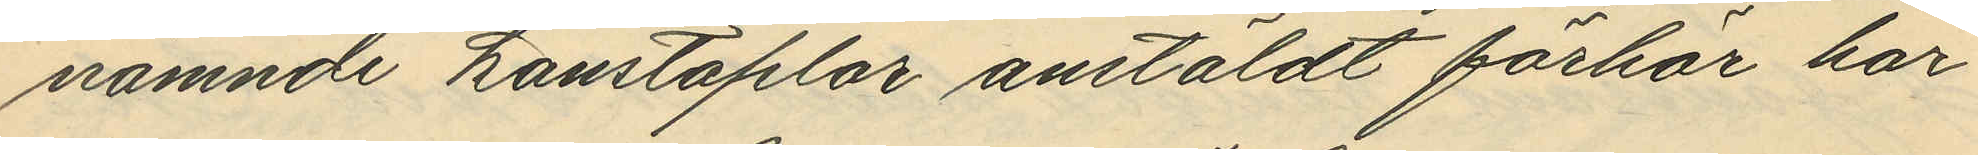nämnde konstaplar anstäldt förhör har
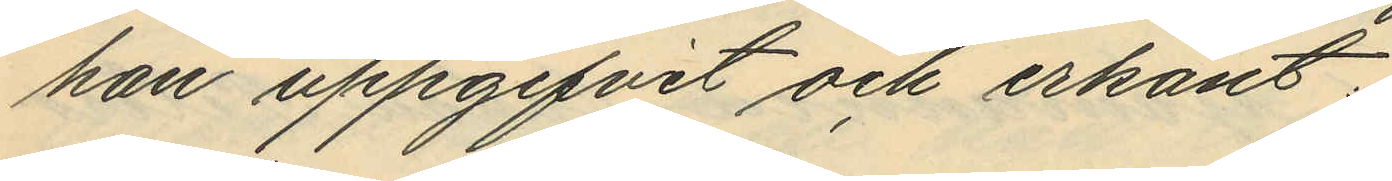han uppgifvit och erkänt:
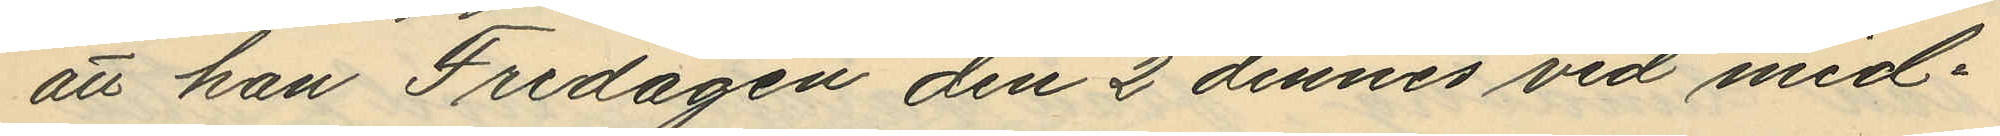att han Fredagen den 2 dennes vid mid¬
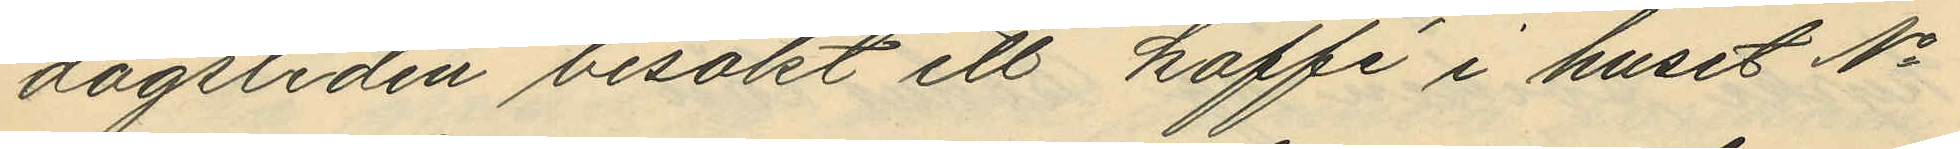dagstiden besökt ett kaffé i huset No
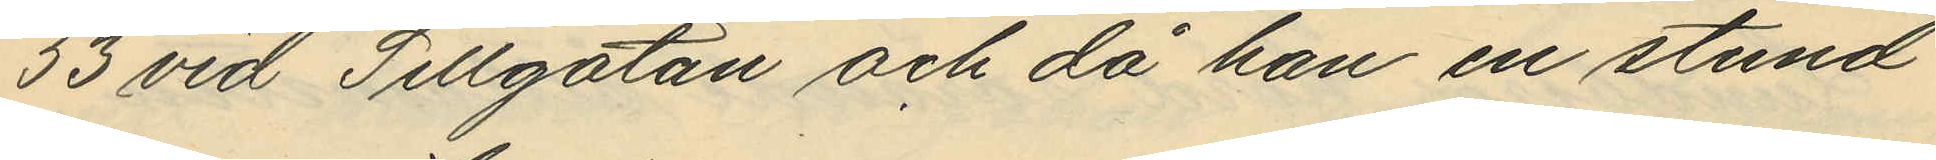53 vid Sillgatan och då han en stund
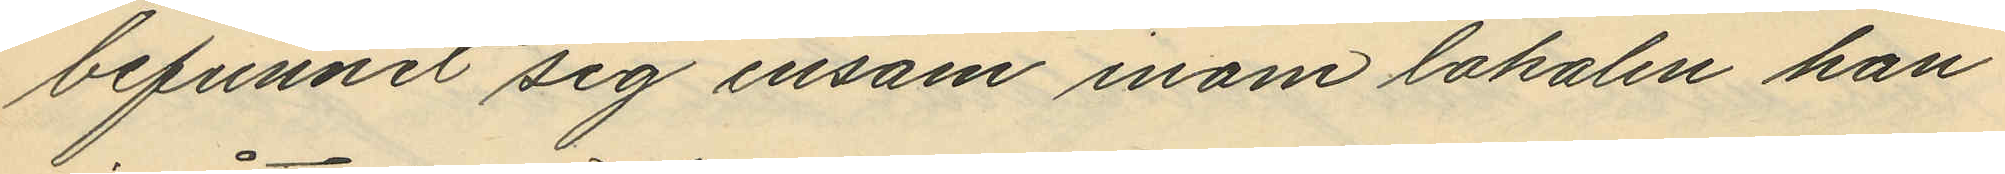befunnit sig ensam inom lokalen han
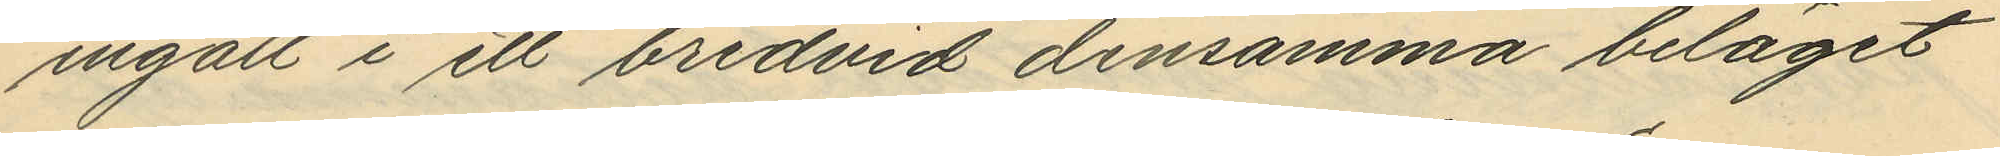ingått i ett bredvid densamma beläget
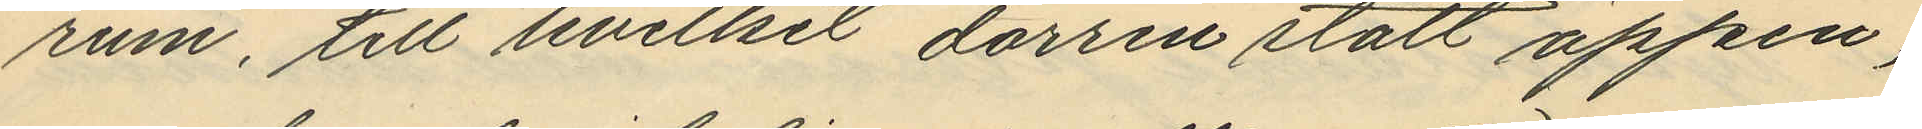rum, till hvilket dörren stått öppen,
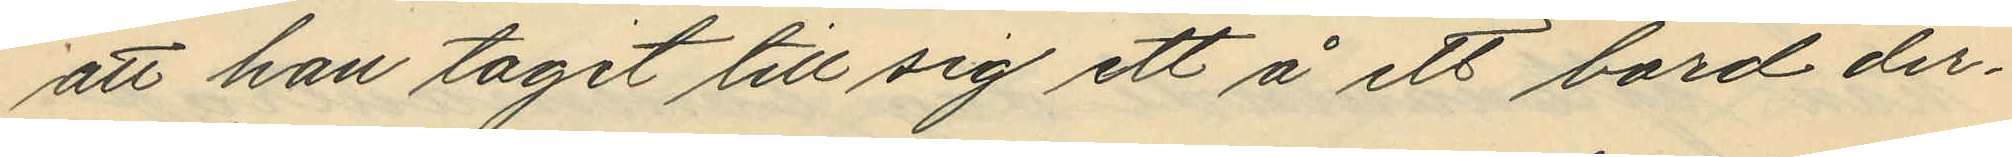att han tagit till sig ett å ett bord der¬
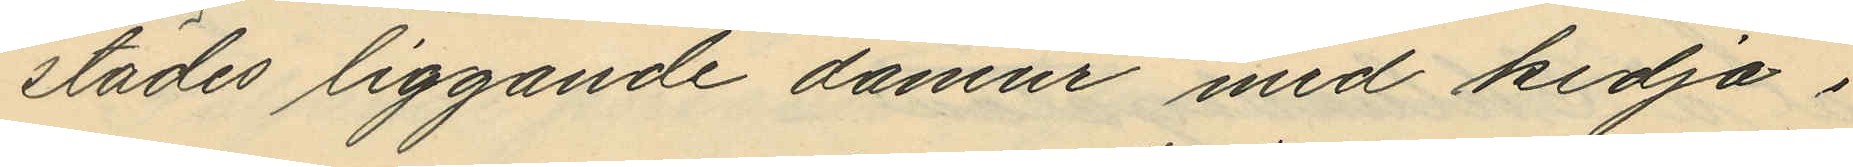städes liggande damur med kedja;
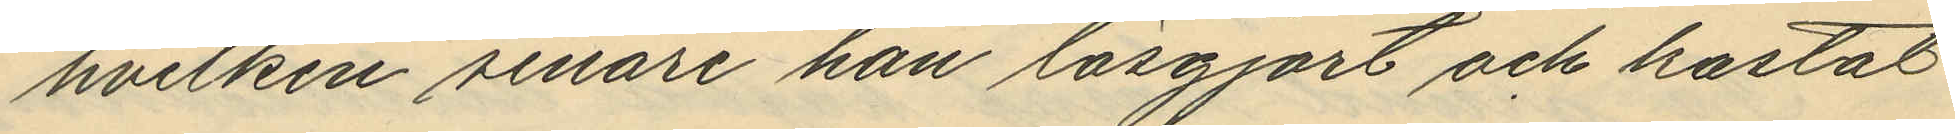hvilken senare han lösgjort och kastat
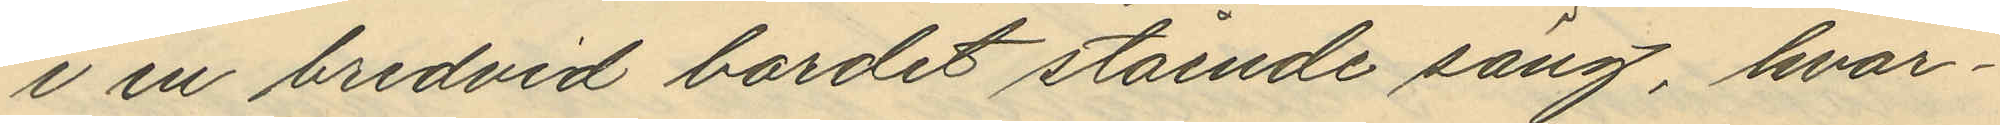i en bredvid bordet stående säng, hvar¬
